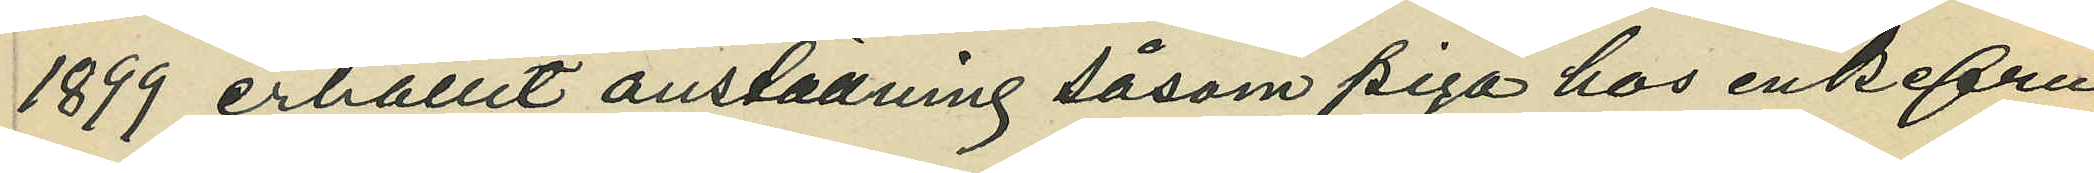1899 erhållit anställning såsom piga hos en enkefru
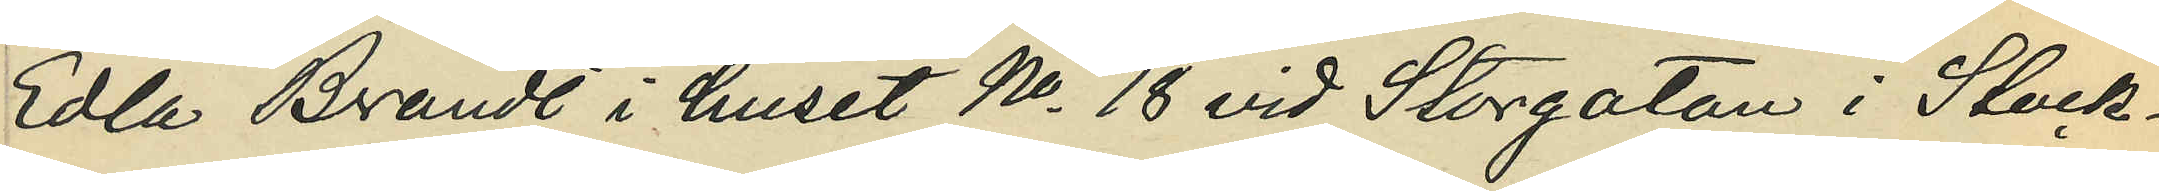Edla Brandt i huset No 18 vid Storgatan i Stock¬
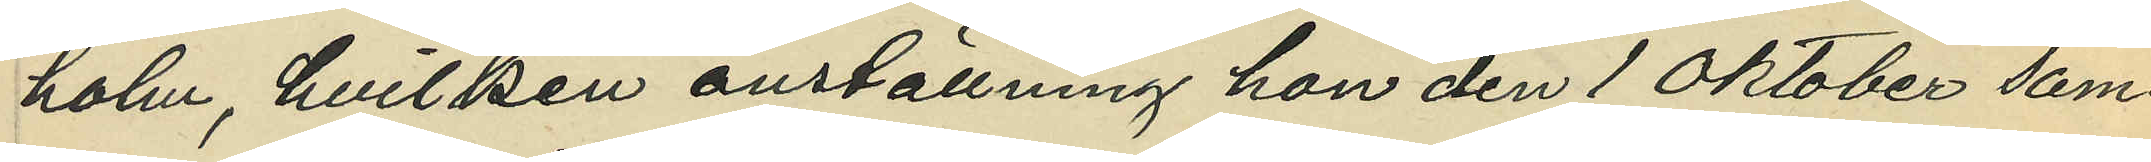holm, hvilken anställning hon den 1 Oktober sam¬
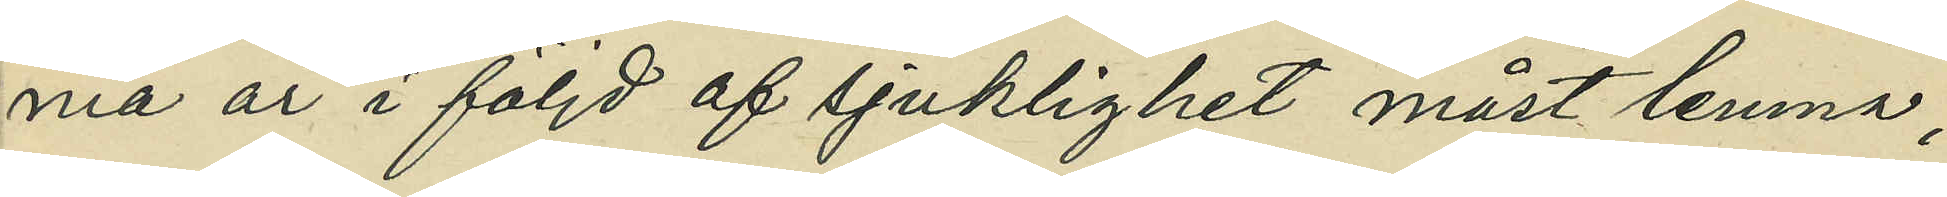ma år i följd af sjuklighet måst lemna;
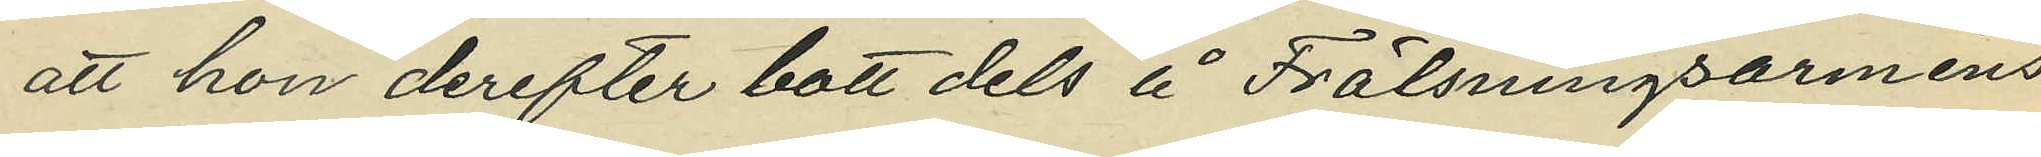att hon derefter bott dels å Frälsningsarméns
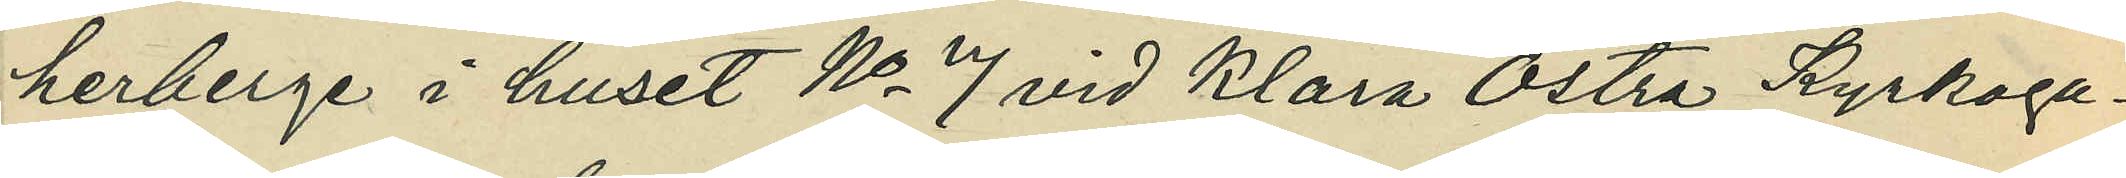herberge i huset No 7 vid Klara Östra Kyrkoga¬
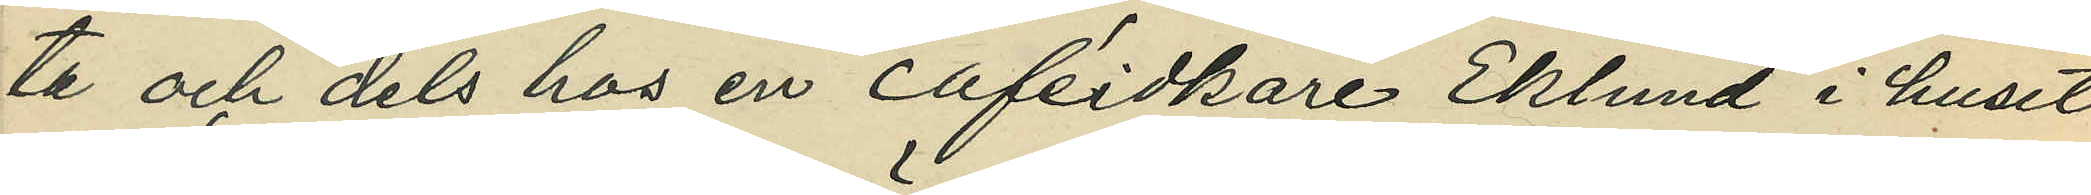ta och dels hos en caféidkare Eklund i huset
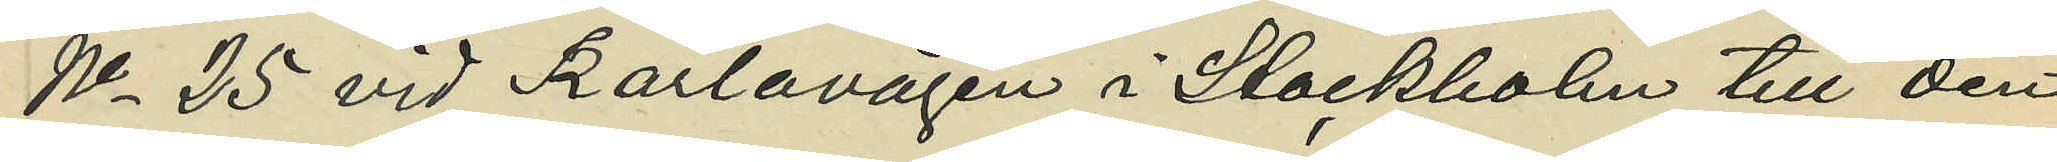No 25 vid Karlavägen i Stockholm till den
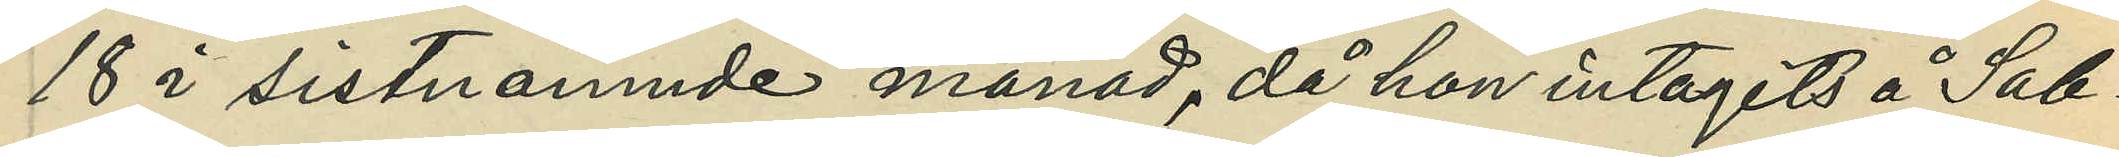18 i sistnämnde månad, då hon intagits å Sab¬
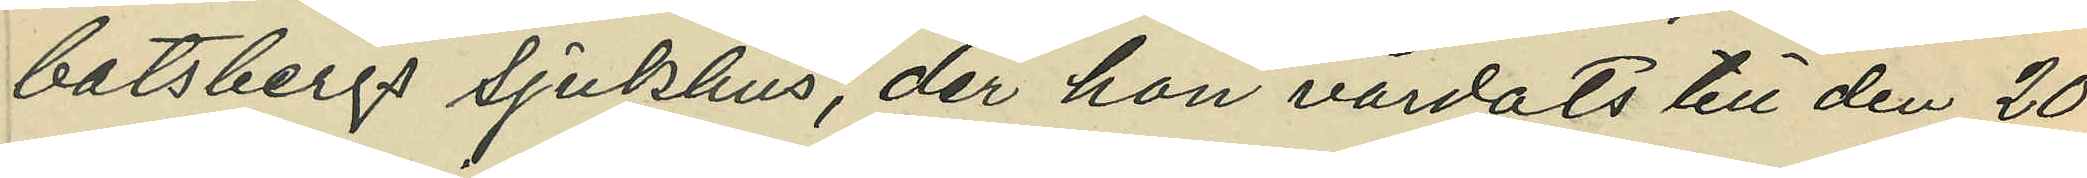batsbergs sjukhus, der hon vårdats till den 20
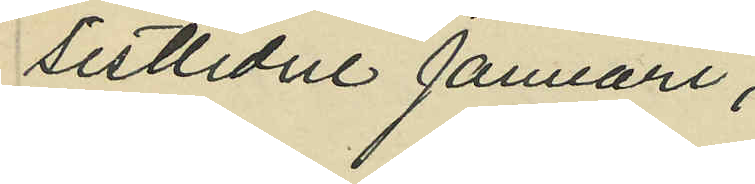sistlidne Januari;
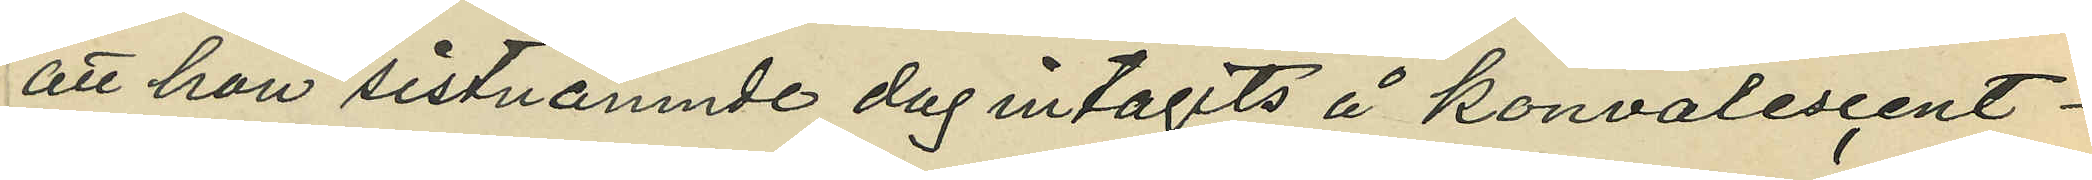att hon sistnämnde dag intagits å konvalescent¬
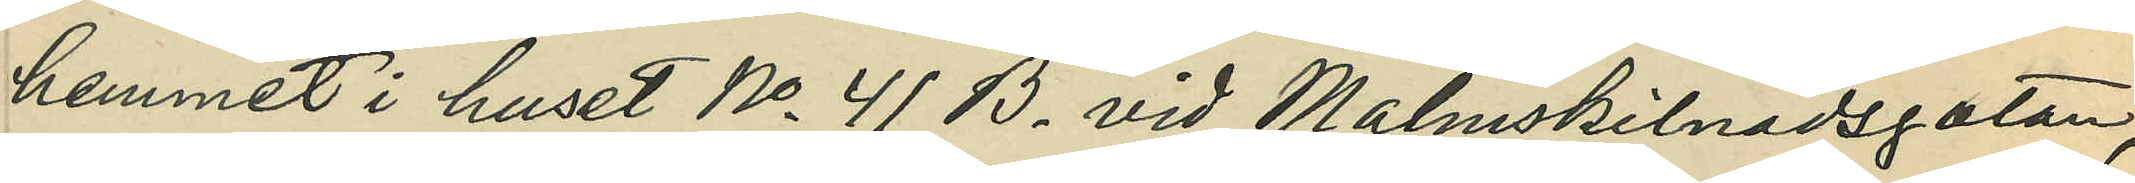hemmet i huset No 41 B vid Malmskilnadsgatan,
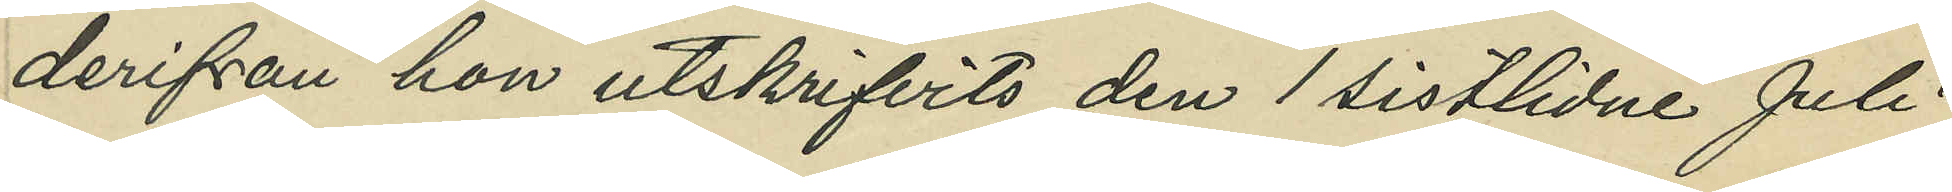derifrån hon utskrifvits den 1 sistlidne Juli;
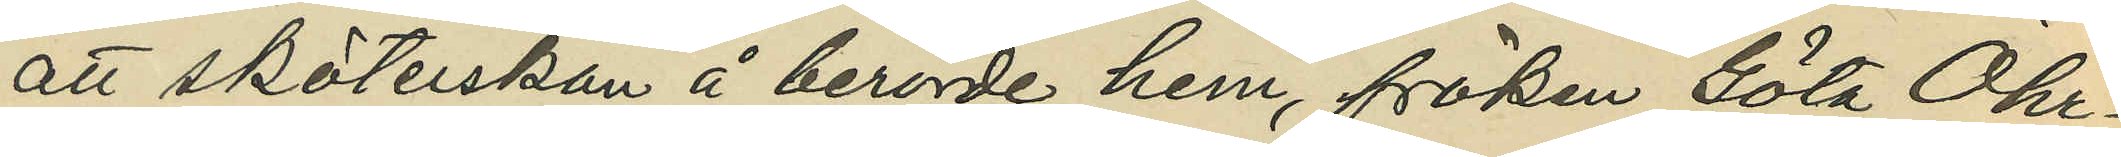att sköterskan å berörde hem, fröken Göta Öhr¬
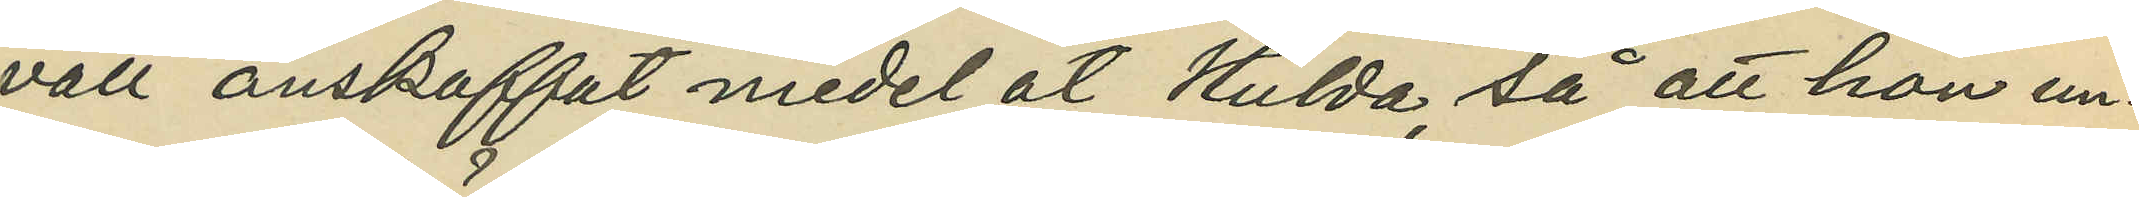vall anskaffat medel å Hulda, så att hon un¬
